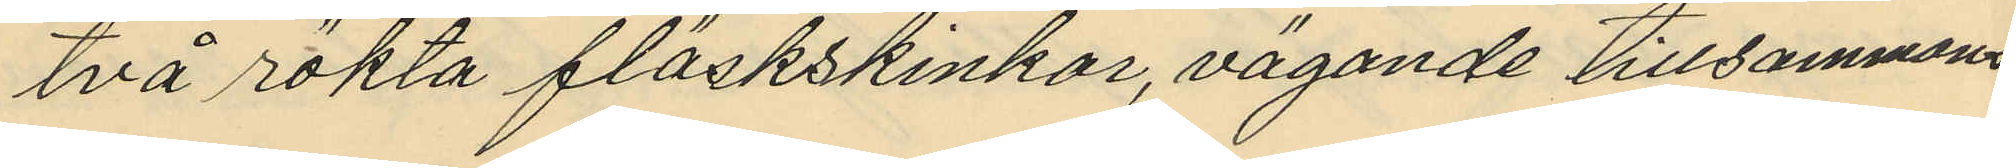två rökta fläskskinkor, vägande tillsammans
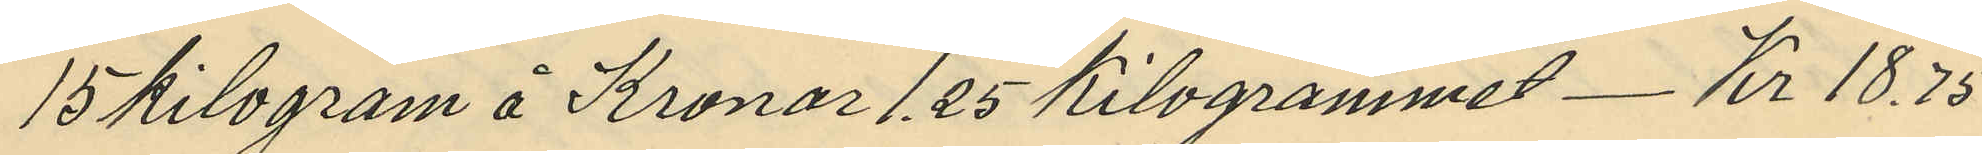15 Kilogram å Kronor 1,25 Kilogrammet - Kr 18,75.
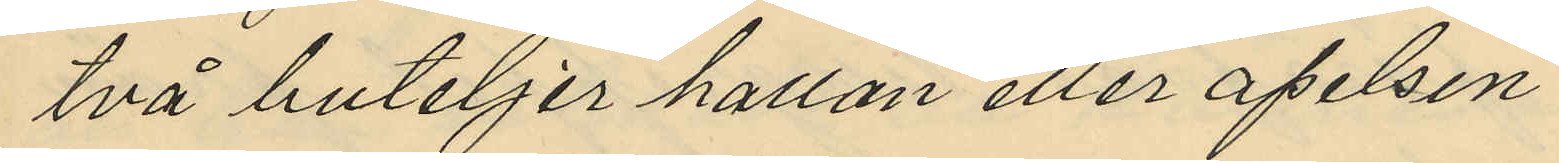två buteljer hallon eller apelsin
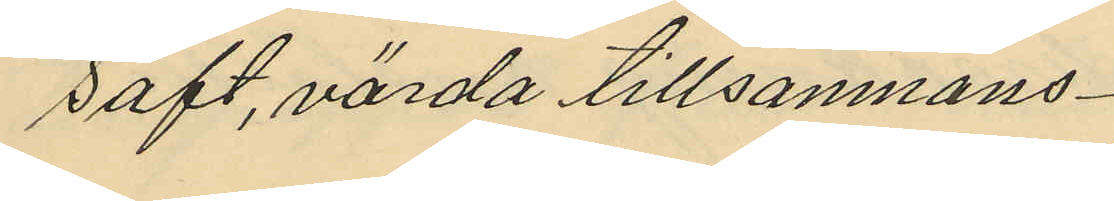saft, värda tillsammans
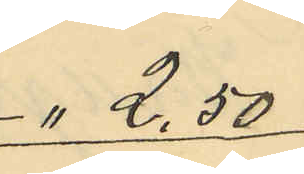" 2,50
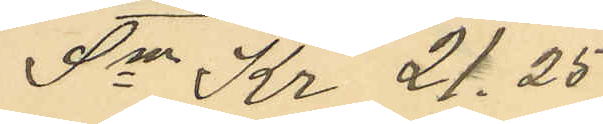Sma Kr 21.25
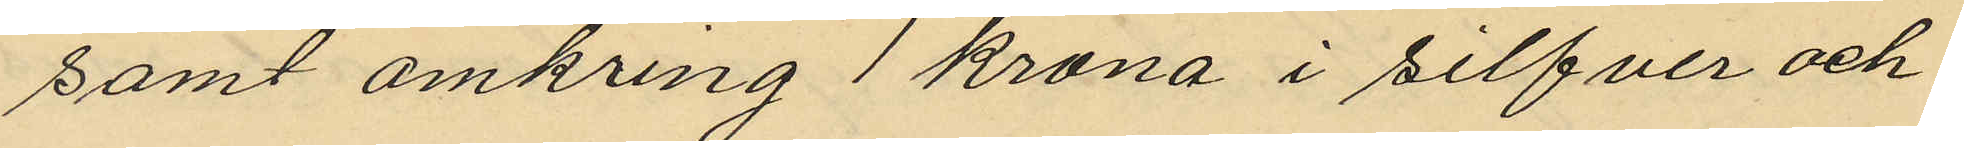samt omkring 1 krona i silfver och
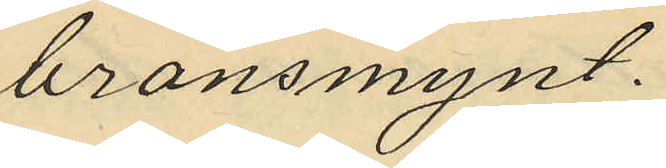bronsmynt.
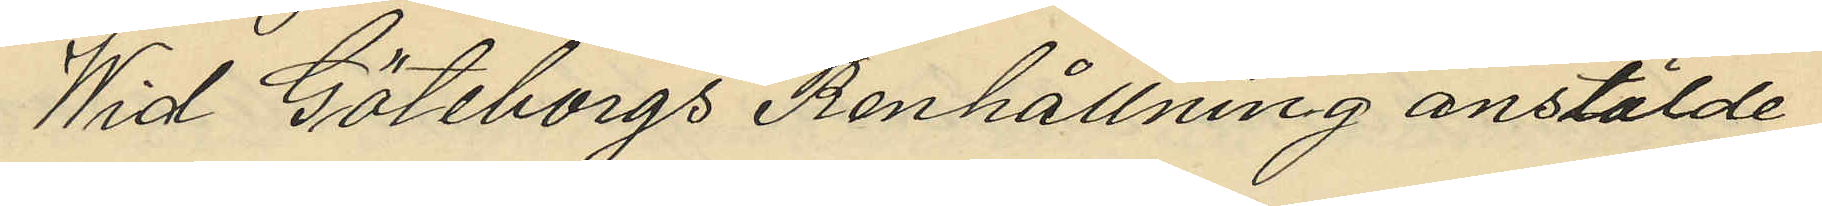Wid Göteborgs Renhållning anstälde
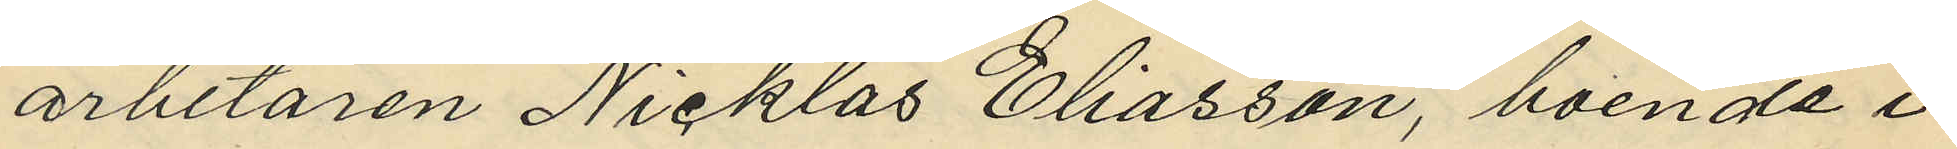arbetaren Nicklas Eliasson, boende i
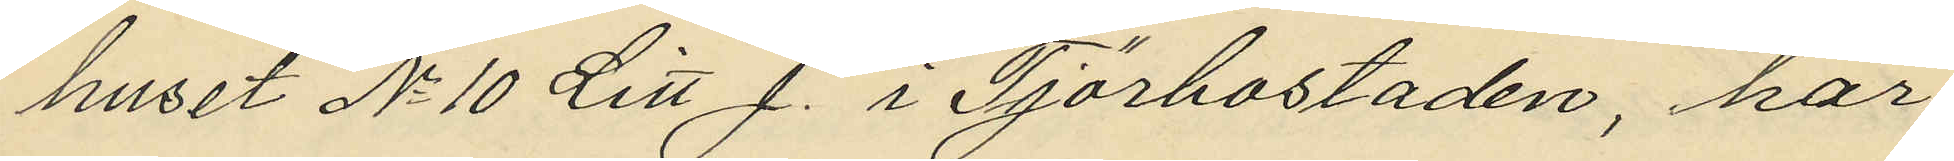huset No 10 Litt J. i Tjörbostaden, har
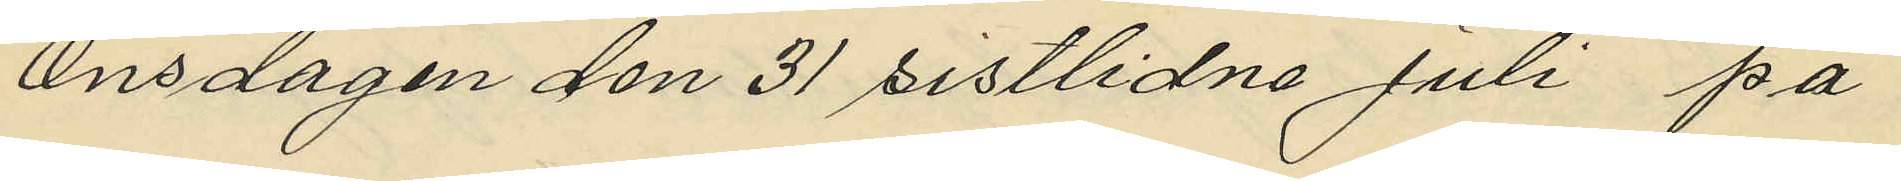Onsdagen den 31 sistlidne Juli på
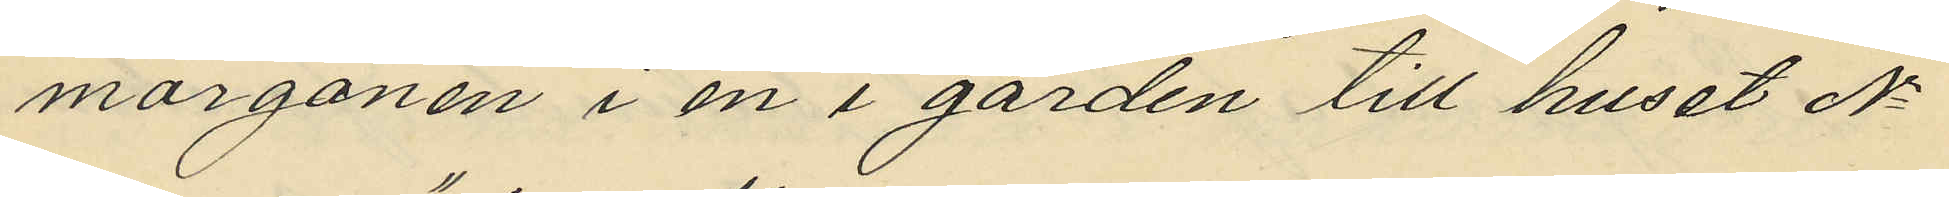morgonen i en i gården till huset No
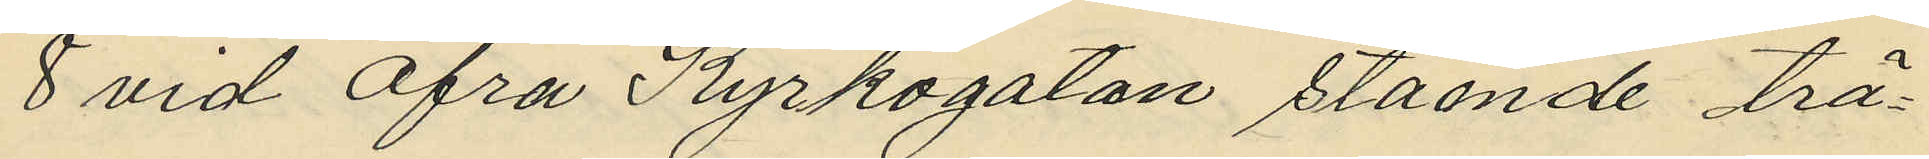8 vid Öfra Kyrkogatan stående trä¬
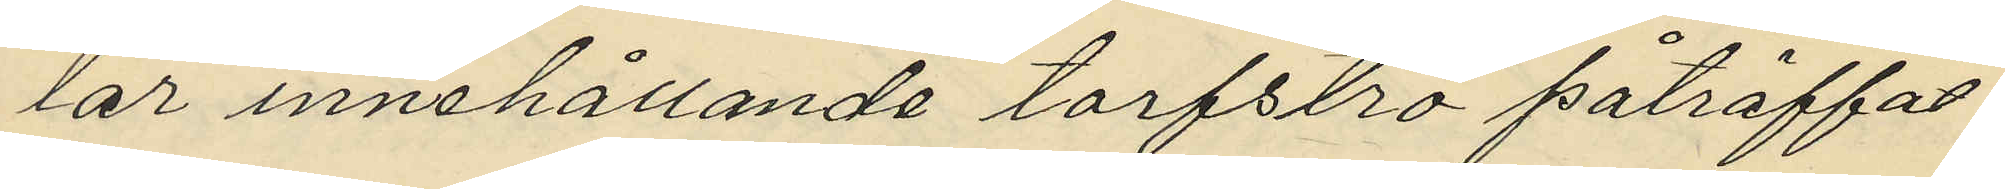lår innehållande torfströ påträffat
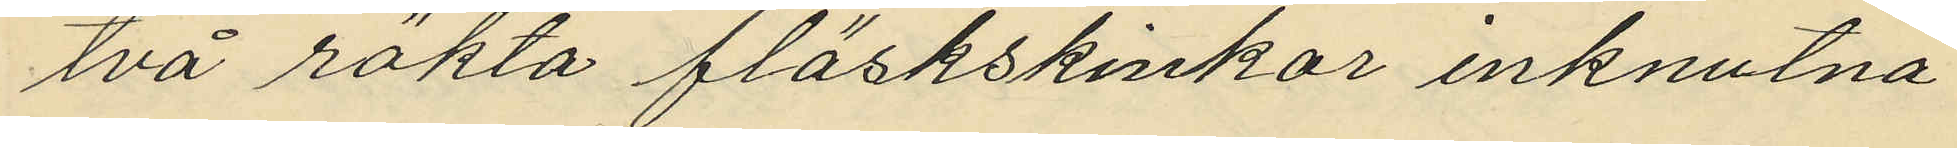två rökta fläskskinkor inknutna
